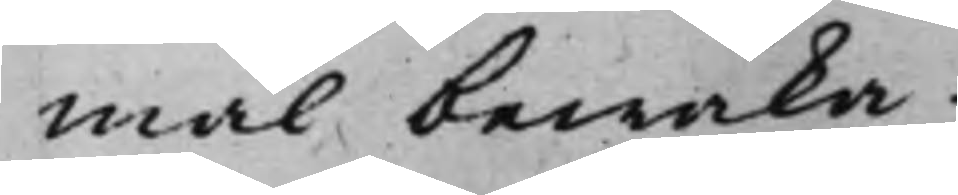mål bewaka.
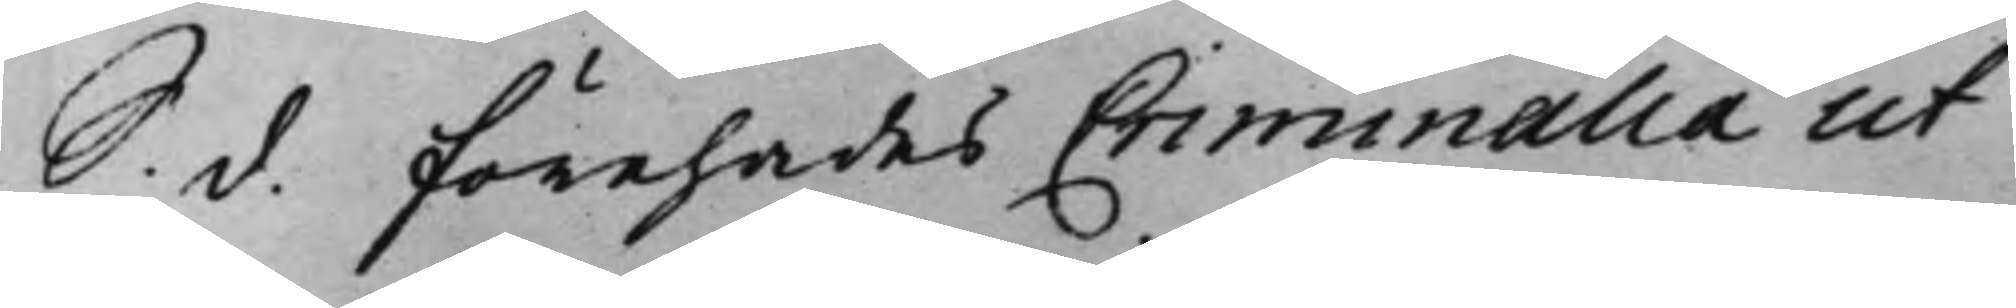S. d. Förehades Criminalia ut
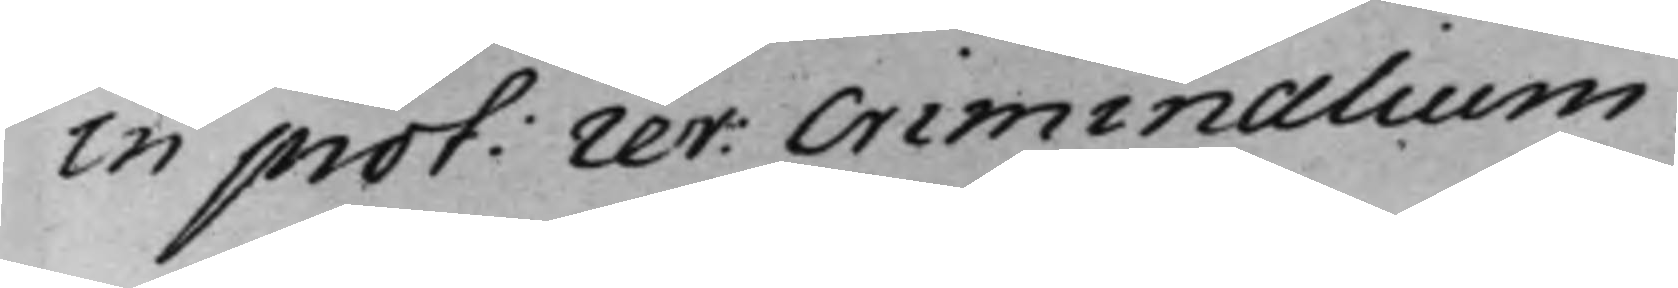in prot: rev: Criminalium.
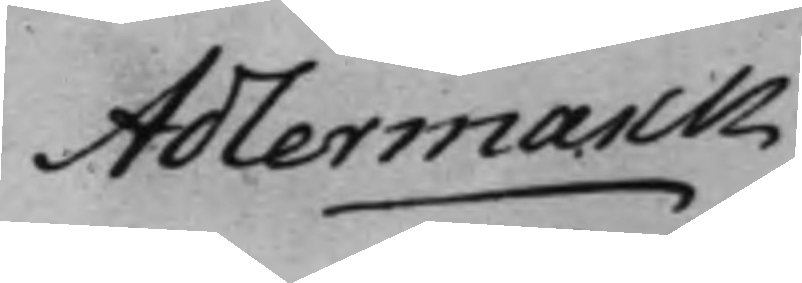Adlermarck
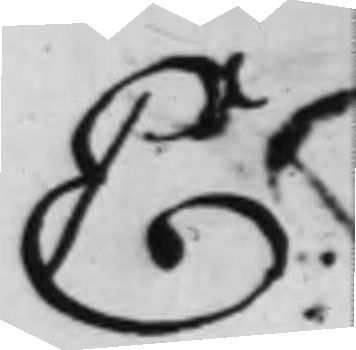E:
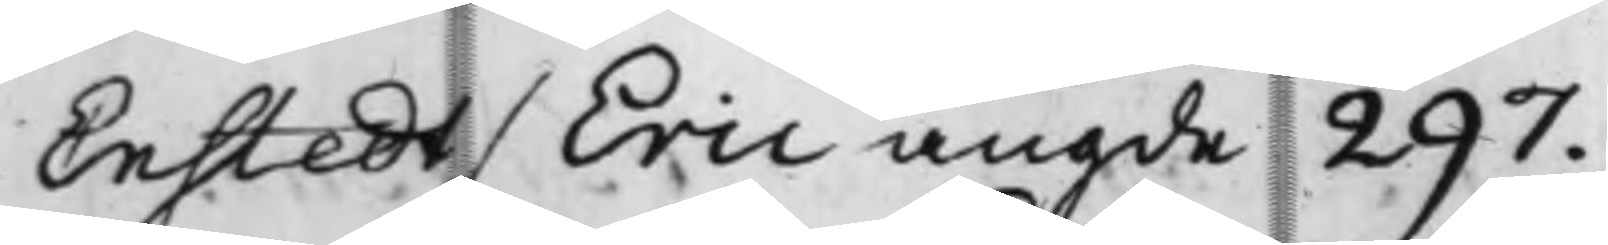Enstedt / Eric angde 297.
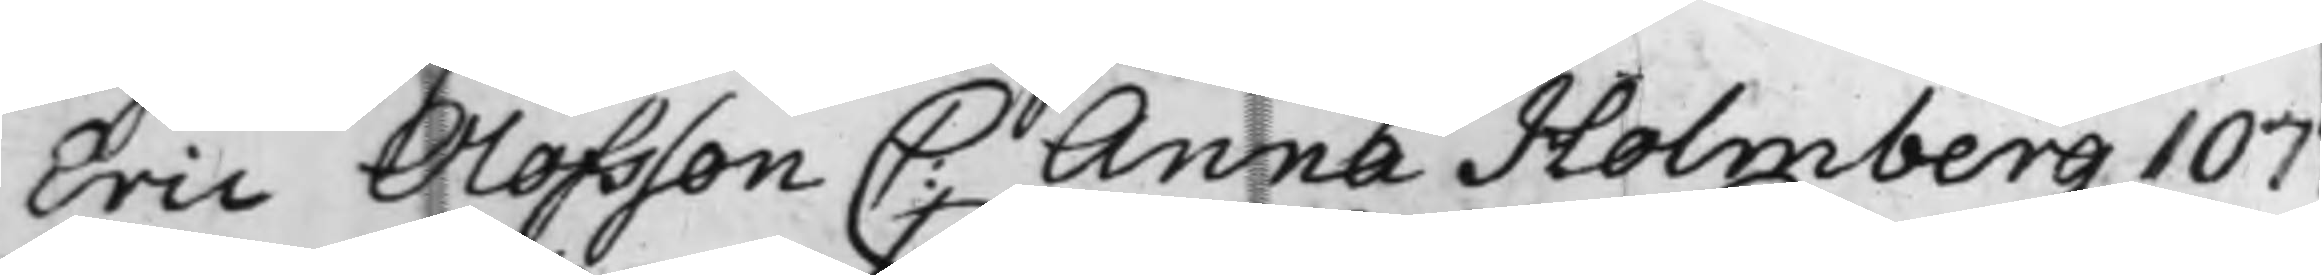Eric Olofsson C: Anna Holmberg 107
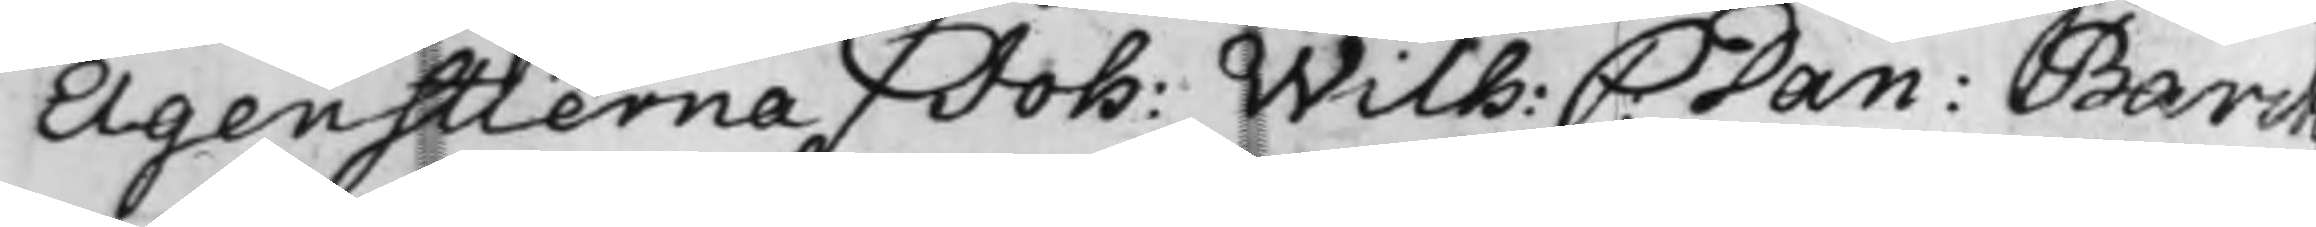Elgenstierna / Joh: Wilh: C: Dan: Barck¬
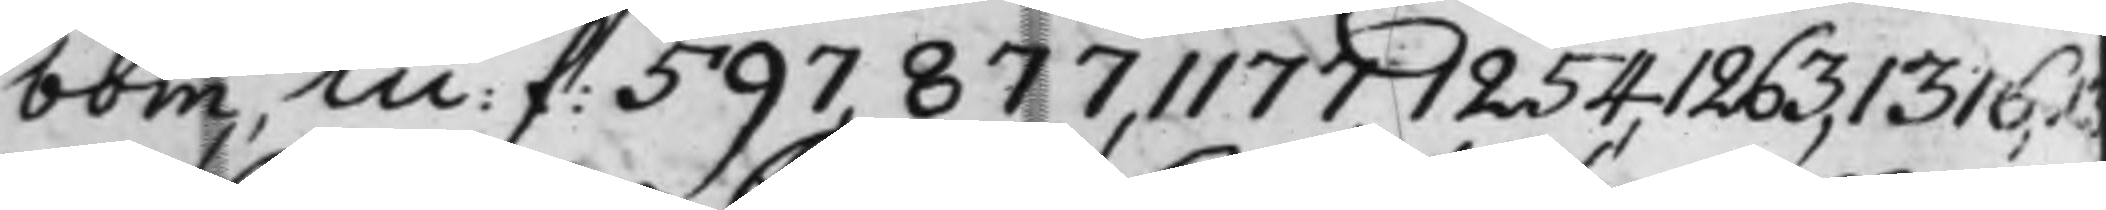bom, m: f: 597, 877, 1177, 1254, 1263, 1315, 13
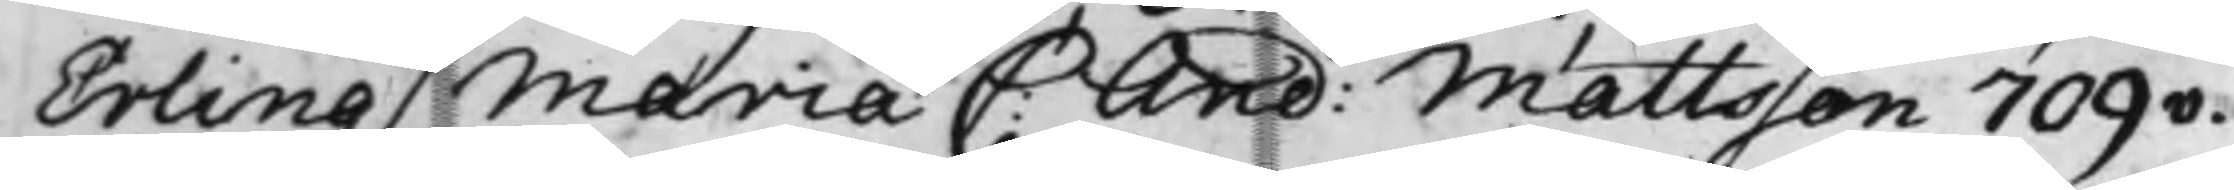Erling, Maria C: And: Mattsson 709v.
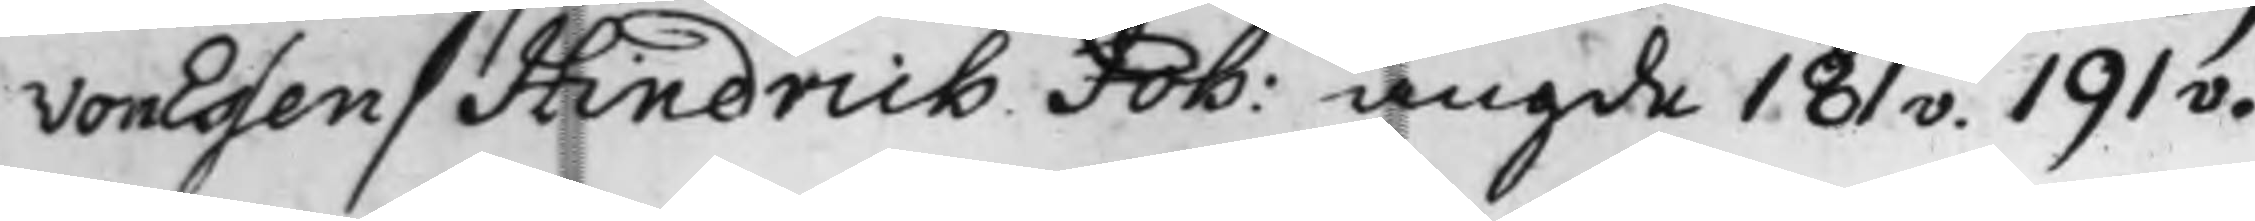von Essen / Hendrich Joh: angde 181v. 191v.
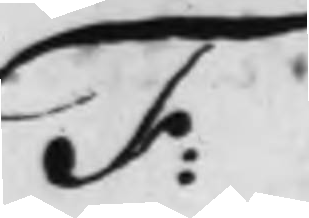F:
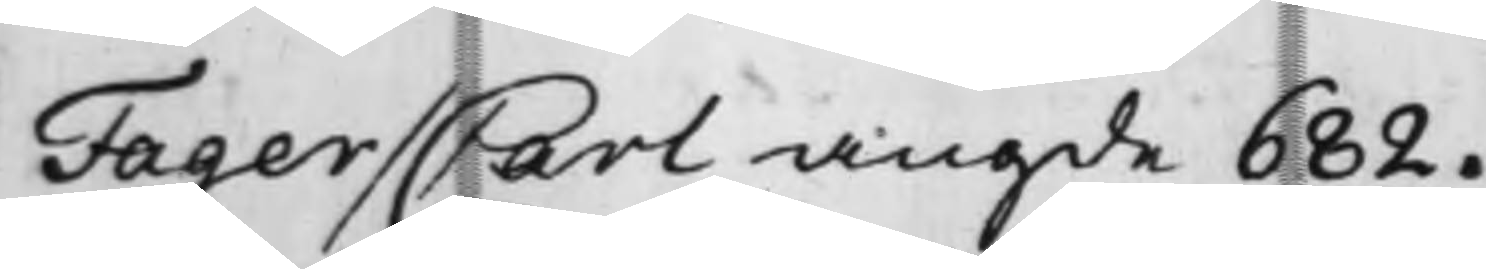Fager / Carl angde 682.
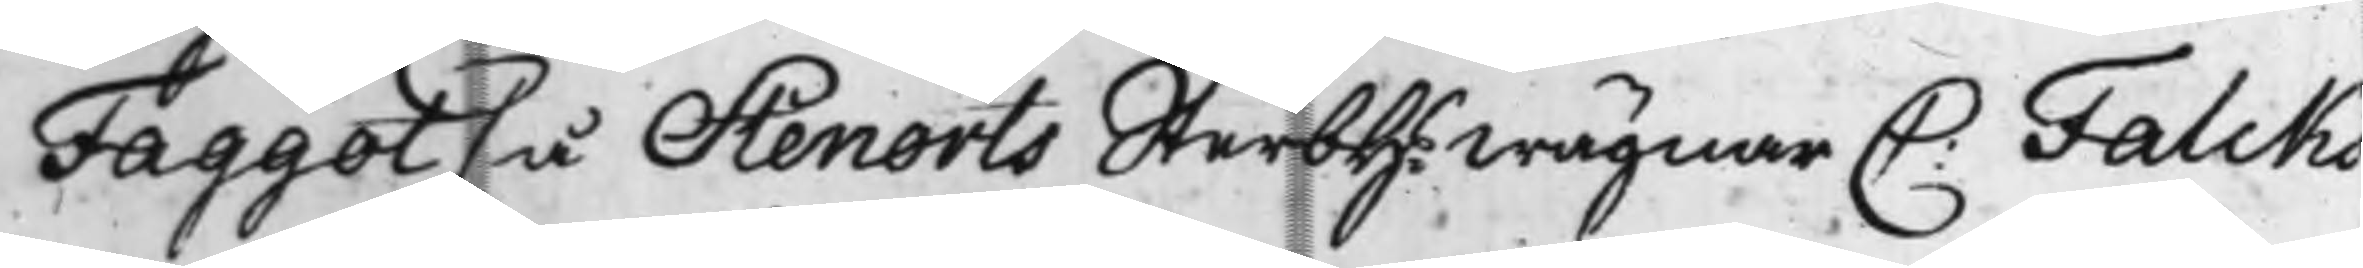Faggot / å Stenerts Sterbh: wägnar C: Falcks
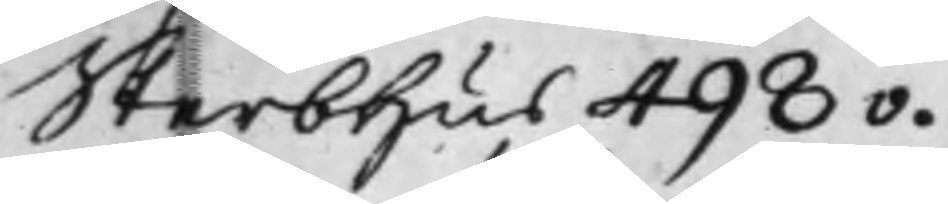Sterbhus 498v.
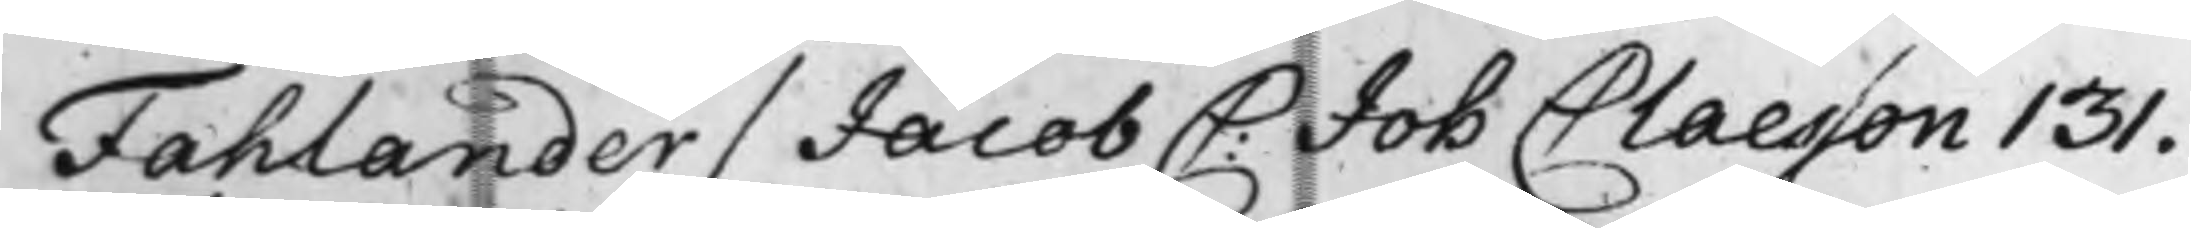Fahlander / Jacob C: Joh Claeson 131.
